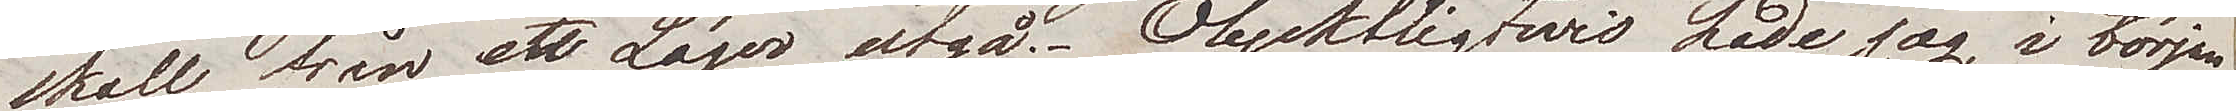skall från ett Läger utgå. Olyckligtwis hade jag i början
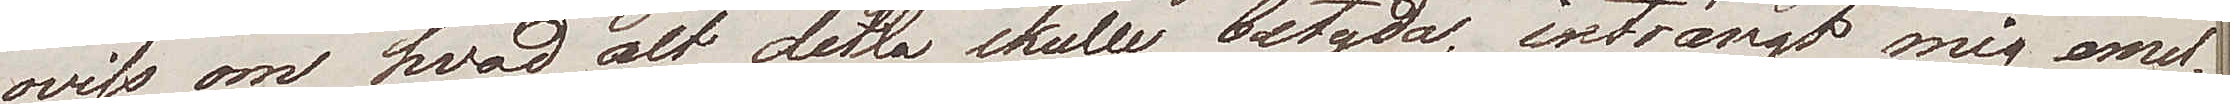oviss om hvad alt detta skulle betyda, instängt mig emel¬
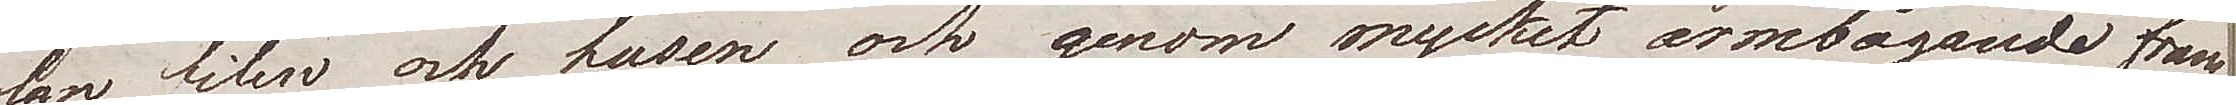lan filen och husen och genom mycket armbågande fram¬
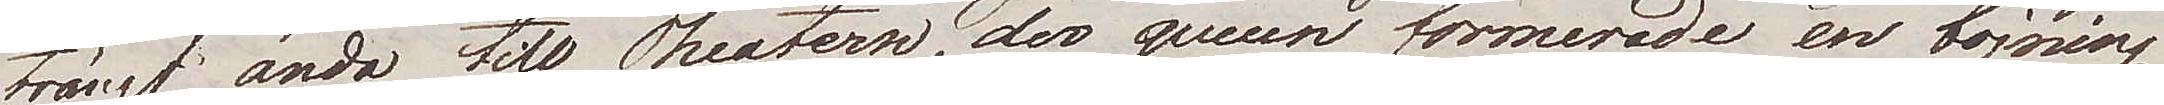trängt ända till Theatern, der queuen formerade en böjning
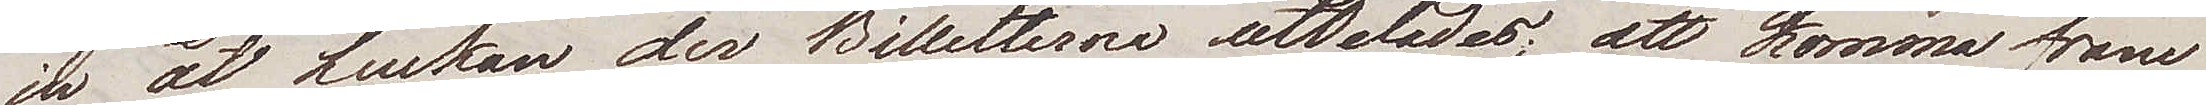in åt luckan der Biletterna utdelades; att komma fram
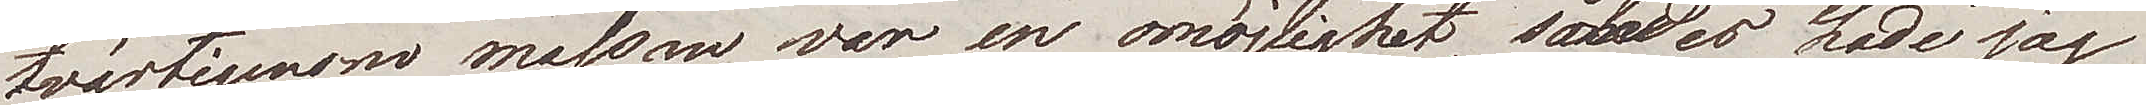tvärtigenom massan var en omöjlighet, således hade jag
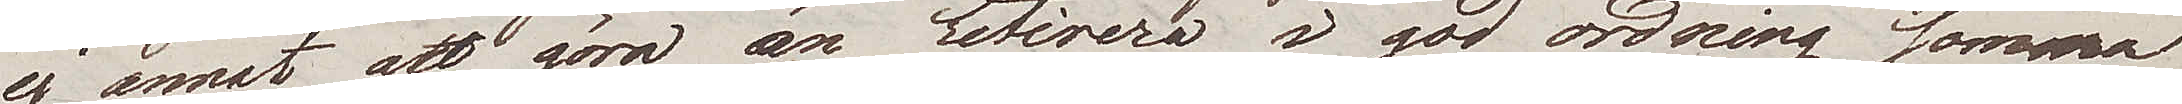ej annat att göra än retirera i god ordning, samma
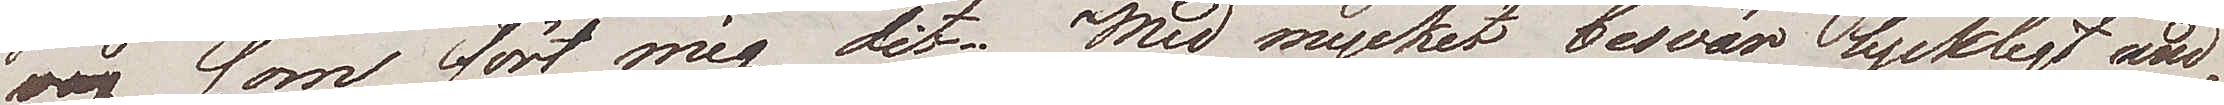väg som fört mig dit. Med mycket besvär lyckligt und¬
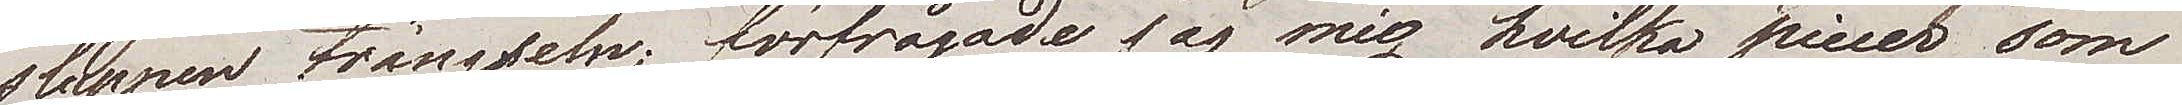sluppen trängseln, förfrågade jag mig hvilka piecer som
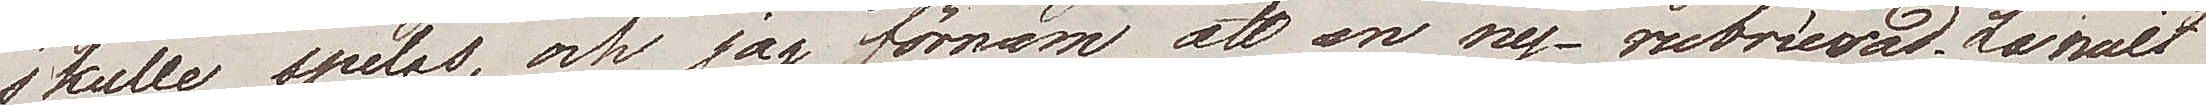skulle spelas, och jag förnam att en ny – rubricerad La nuit
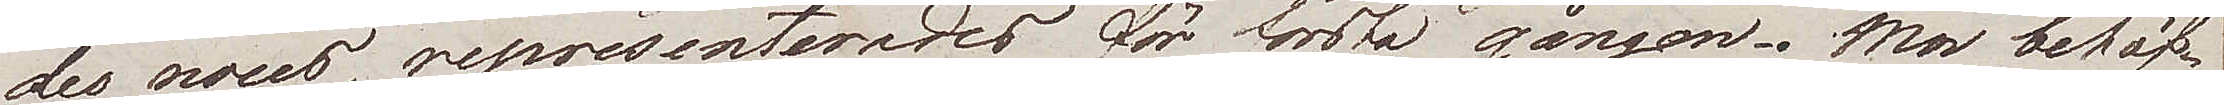des noces, representerades för första gången. Mer behöf¬
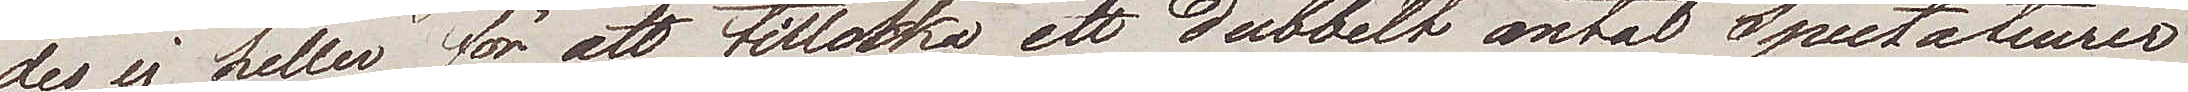des ej heller för att tillocka ett dubbelt antal Spectateurer
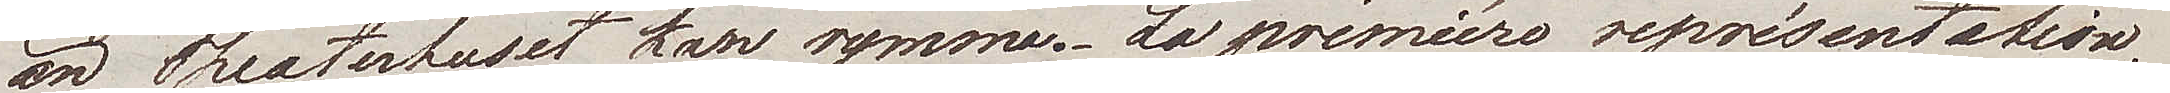än Theaterhuset kan rymma. La première représentation,
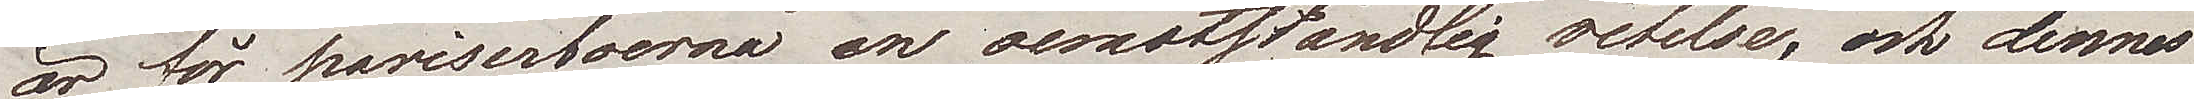är för pariserborna en oemotståndlig retelse, och dennas
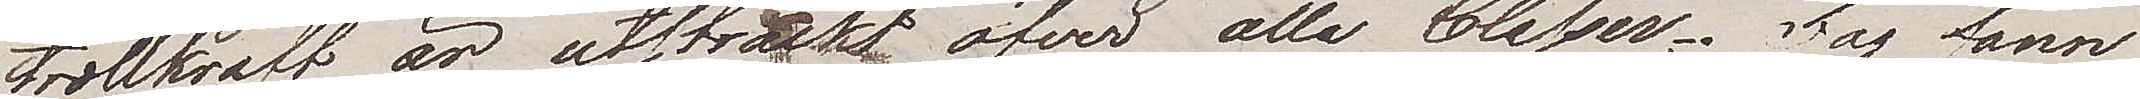trollkraft är utsträckt öfver alla Classer. Jag fann
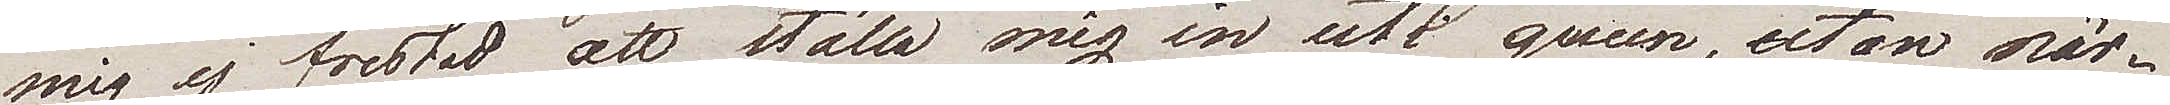mig ej frestas att ställa mig in uti queuen, utan när¬
